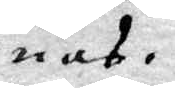nas.
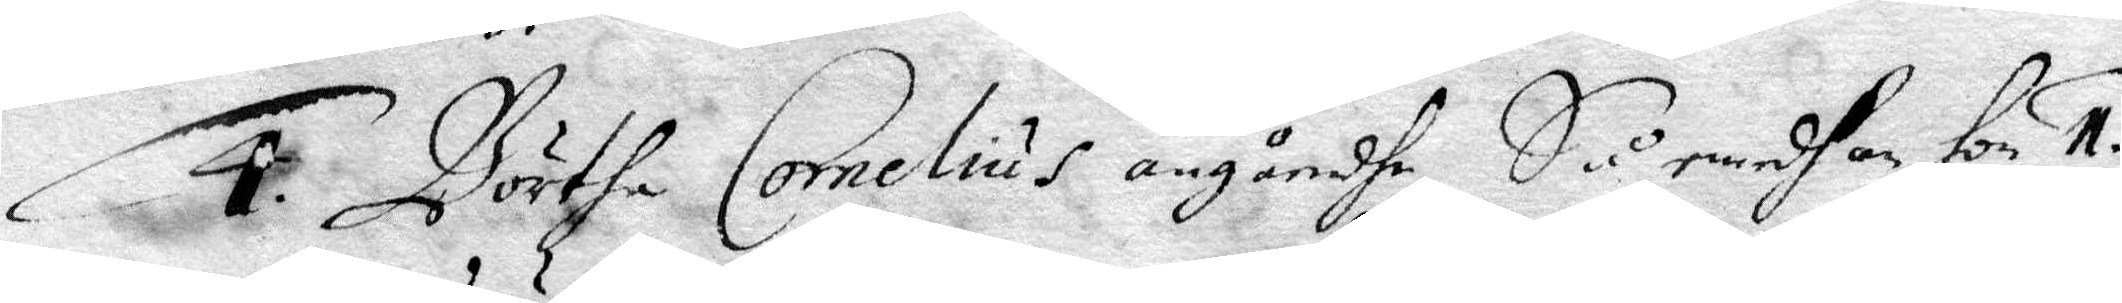4. Börtha Cornelius angåendhe, Så emedhan hon 1.
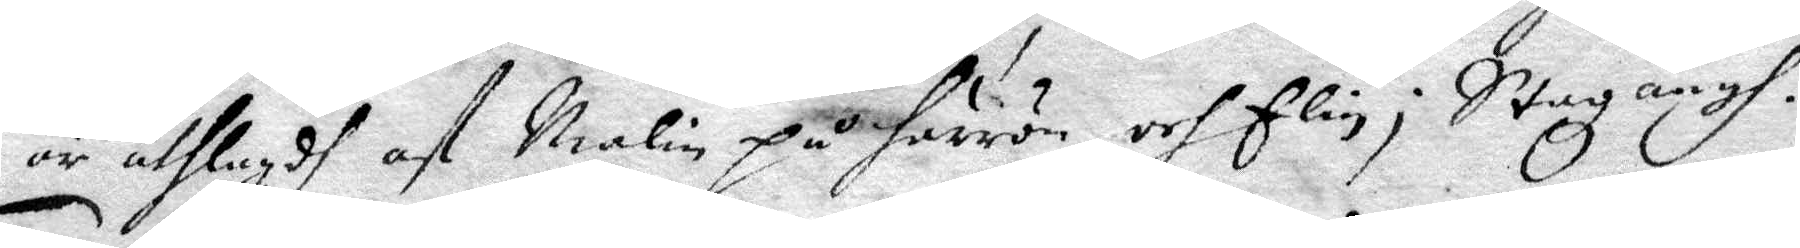är utlagdh af Malin på Härrön, och Elin i Stazängh.
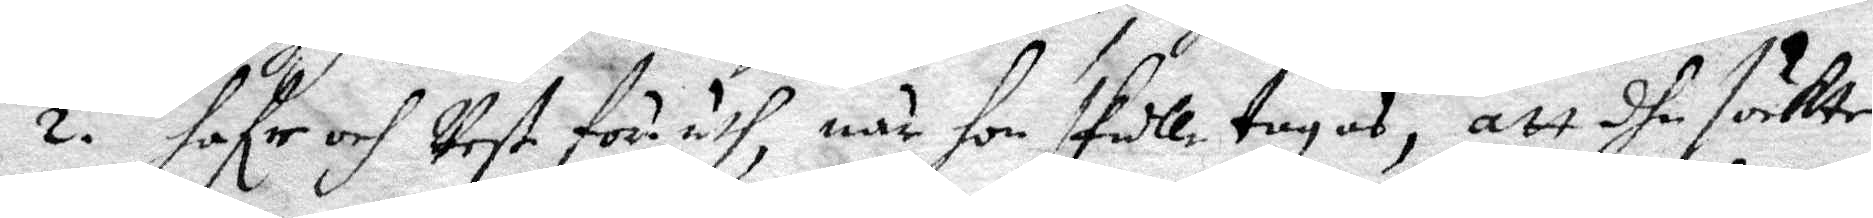2. hafr och Rest för uth, när hon skulle tagas, att dhe sökte
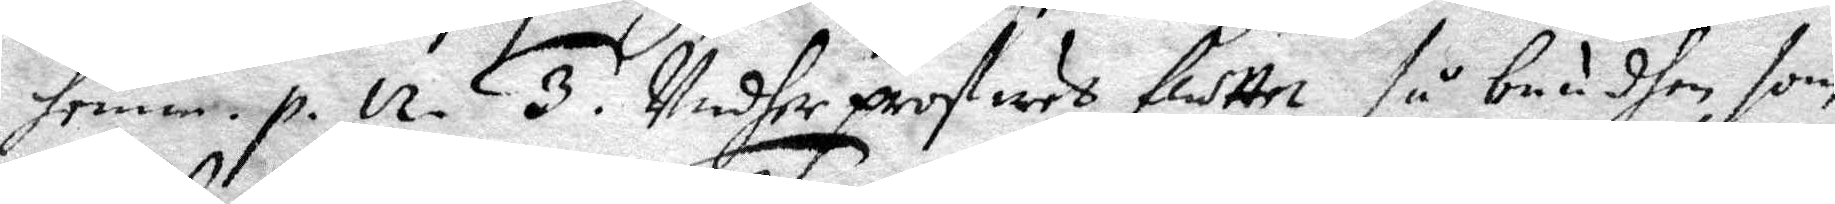henne. p. 12. 3. Indher profwet fluttet så bundhen som
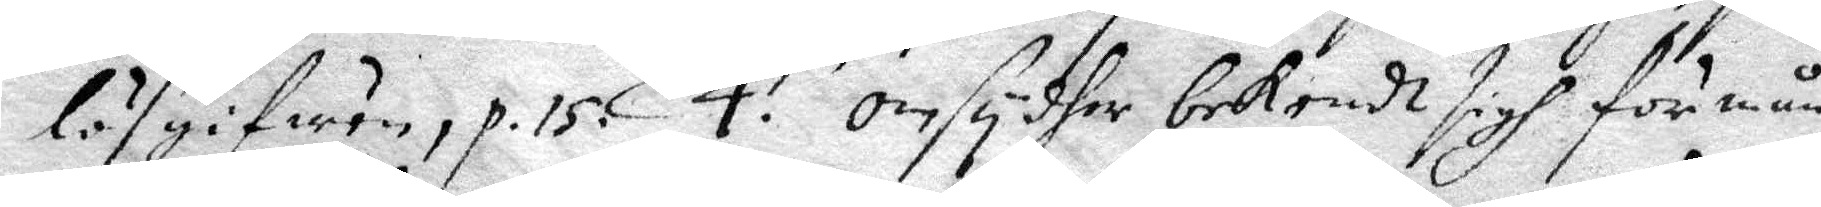lösgifwen, p. 15. 4. Omsyder bekendt sigh för mån¬
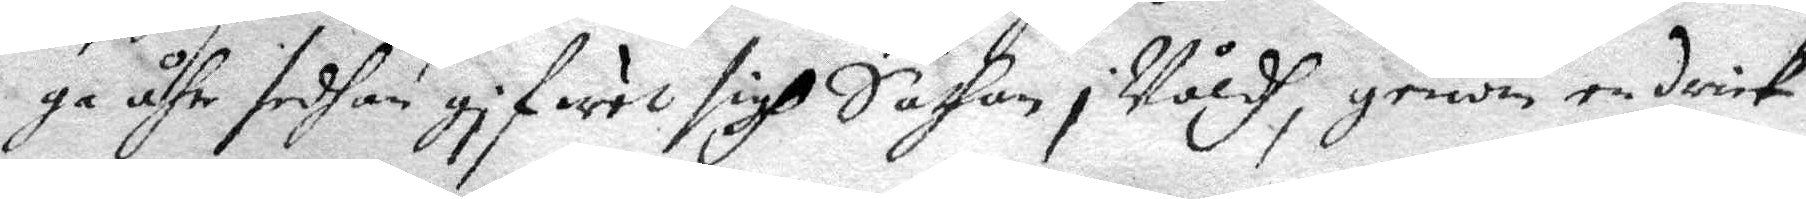ga åhr sedhan gifwet sigh Sathan i Wäldh, genom en drick
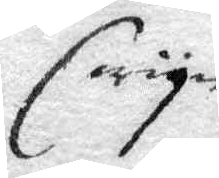vyn
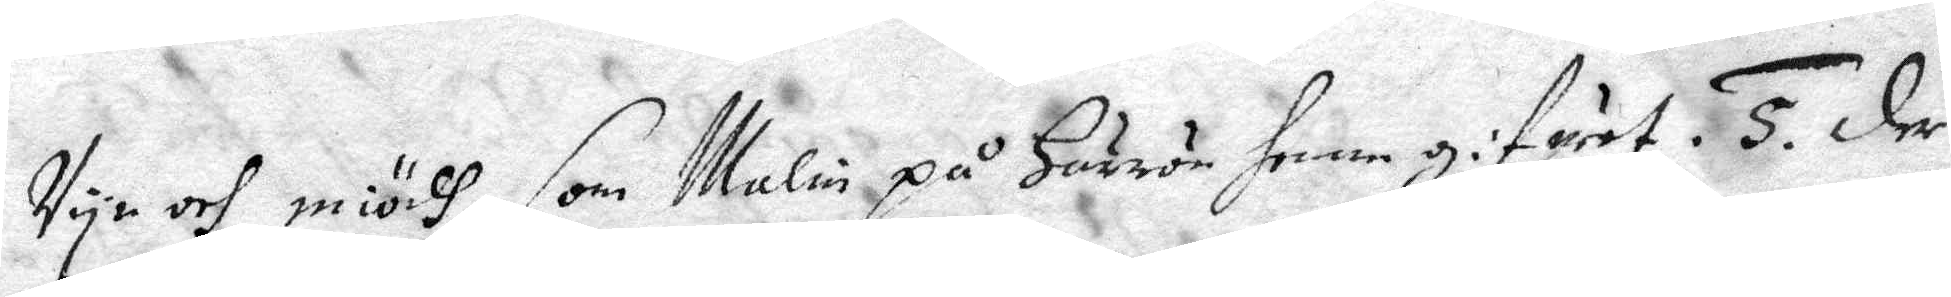Vyn och miödh, som Malin på Härrön henne gifuet. 5. Der
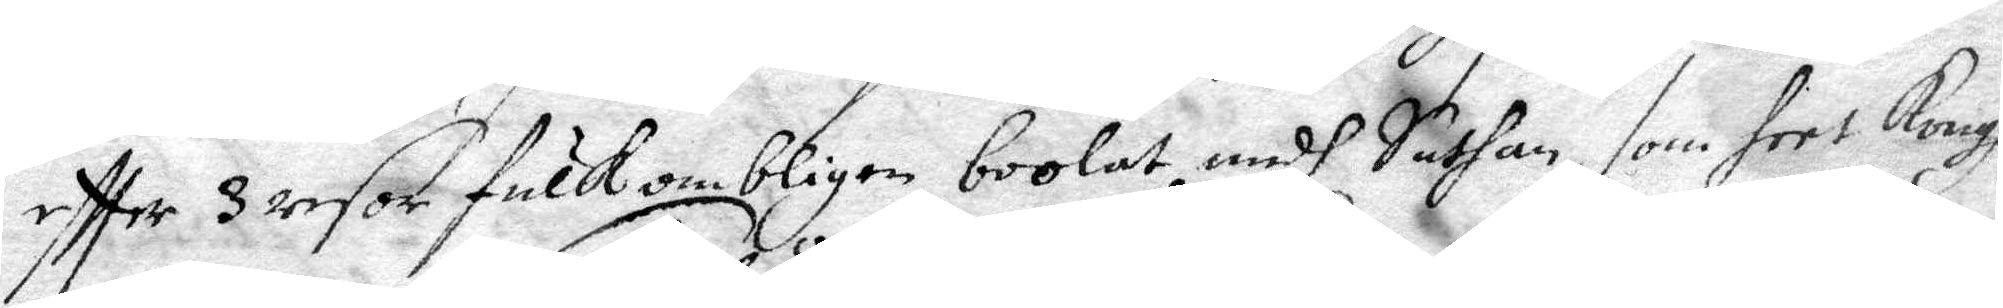eftter 3 resor fulkombligen boolat medh Sathan, som heet Kongh
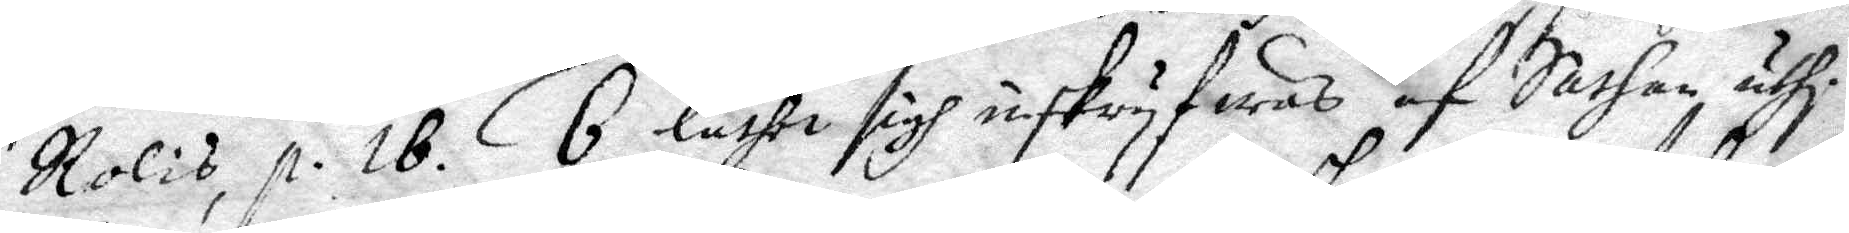Rolis, p. 18. 6 låthe sigh inskryfwas af Sathan uthi
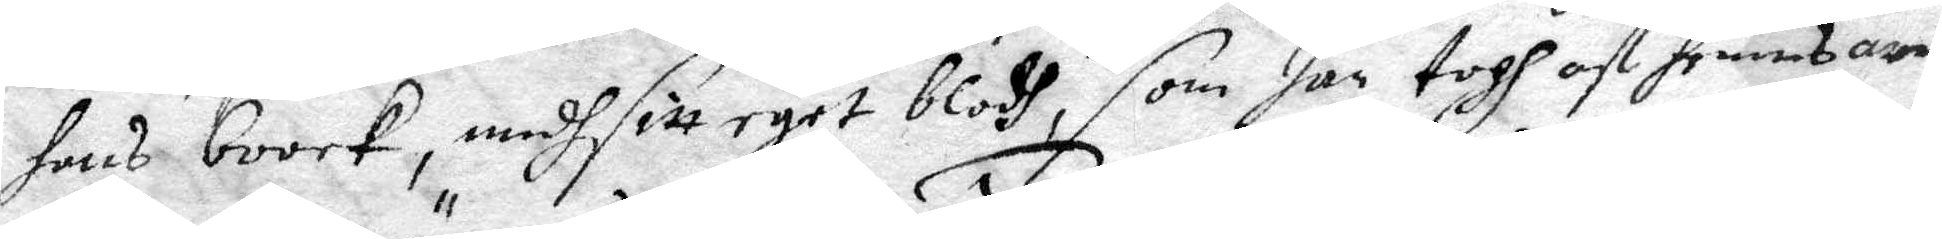hans boock, medh sitt eget blodh, som han togh af hennes arm
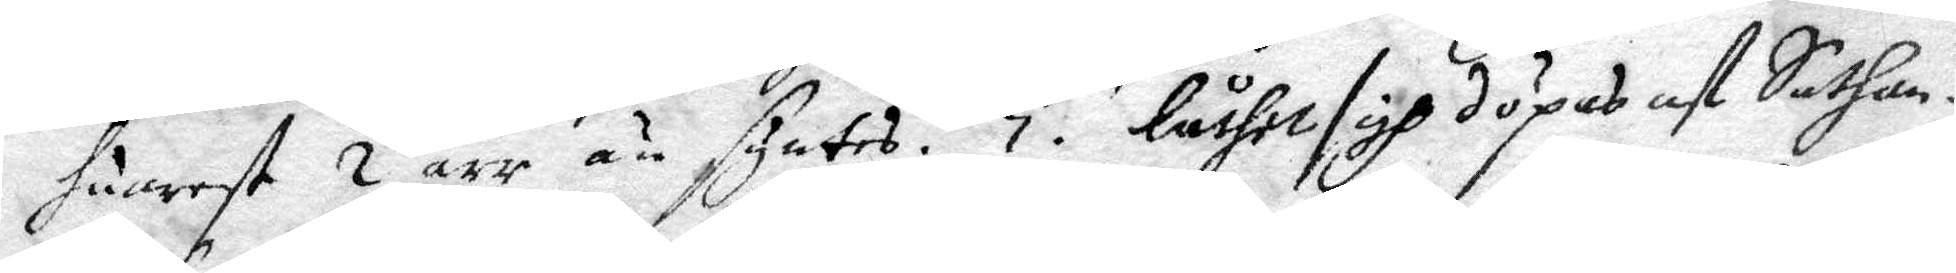huarest 2 ärr än syntes. 7. Låther sigh döpas af Sathan
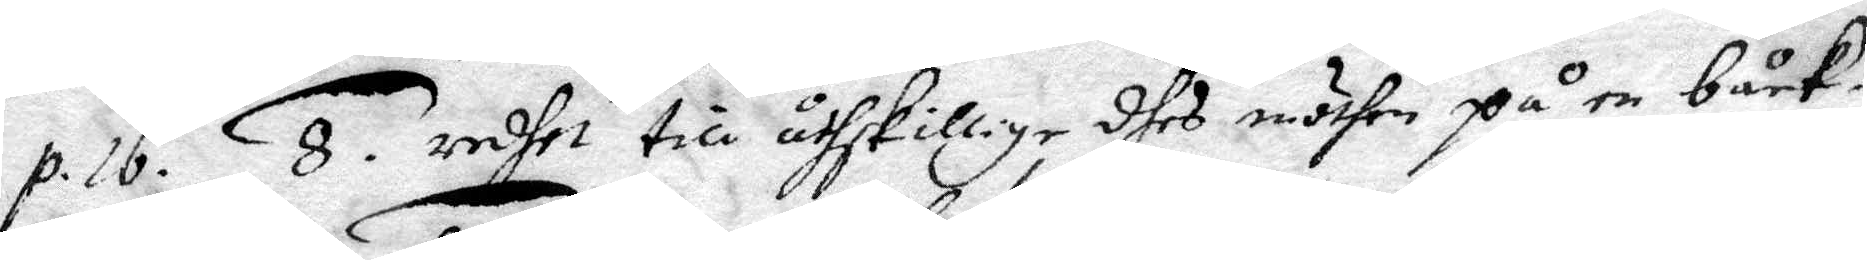p. 16. 8. redhe till åthskillige dhes möthen på en båck.
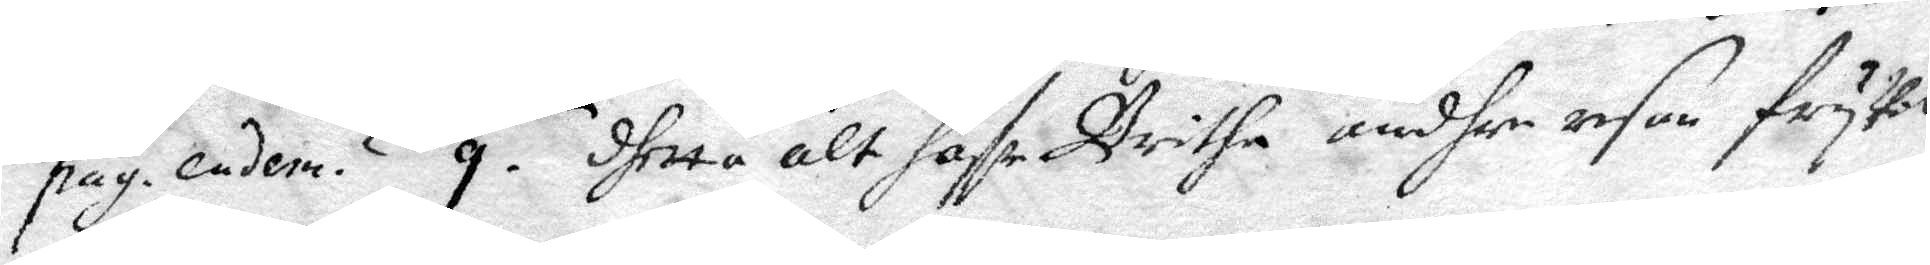pag. endem. 9. dhetta alt hafr Britha undher resan frywil¬
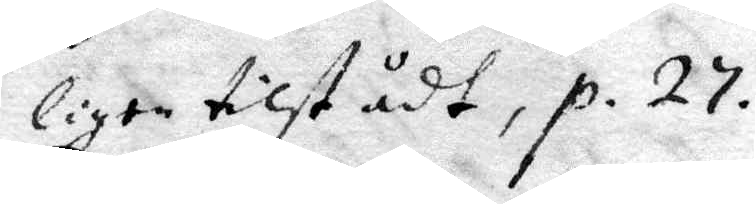ligen tilstådt, p. 27.
